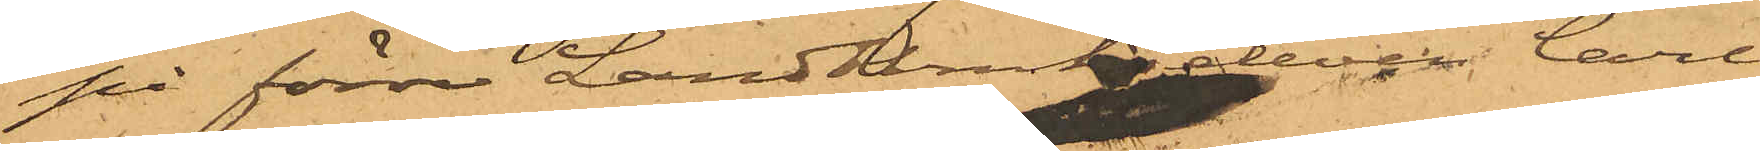på förre Landtbrukseleven Carl
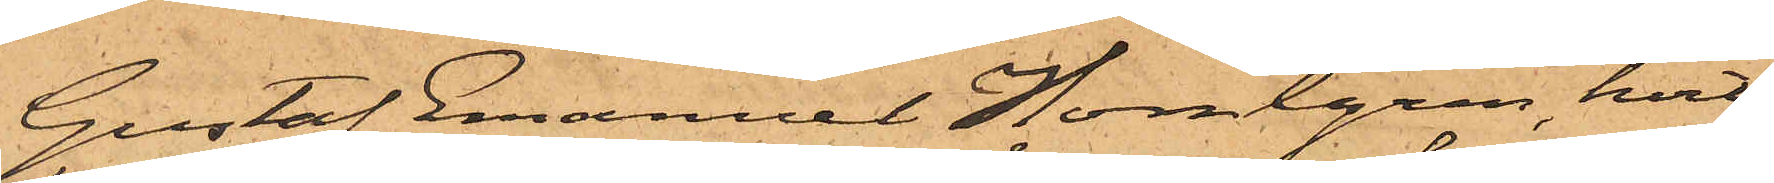Gustaf Emanuel Homlgren hvil¬
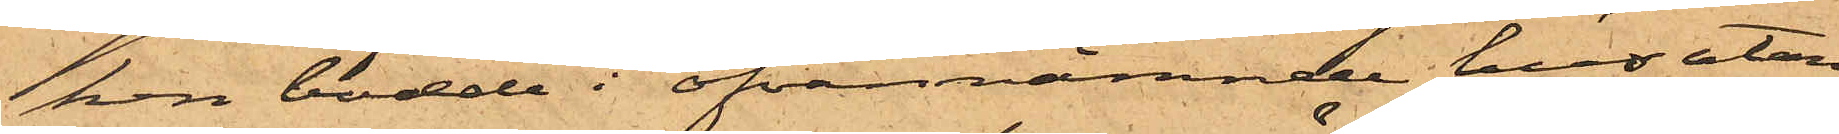ken bodde i ofvannämnde hus utan
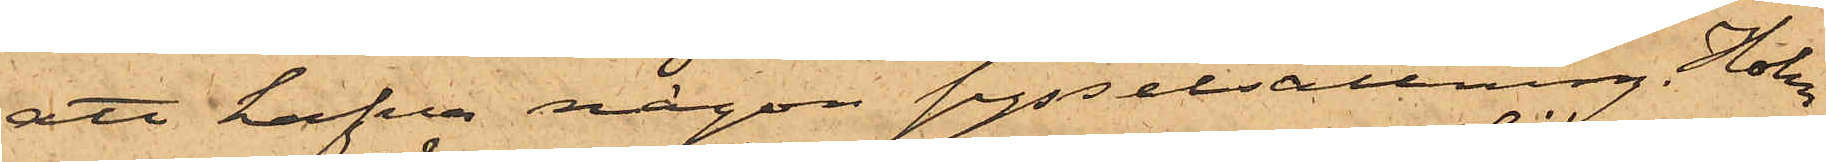att hafva någon sysselsättning. Holm¬
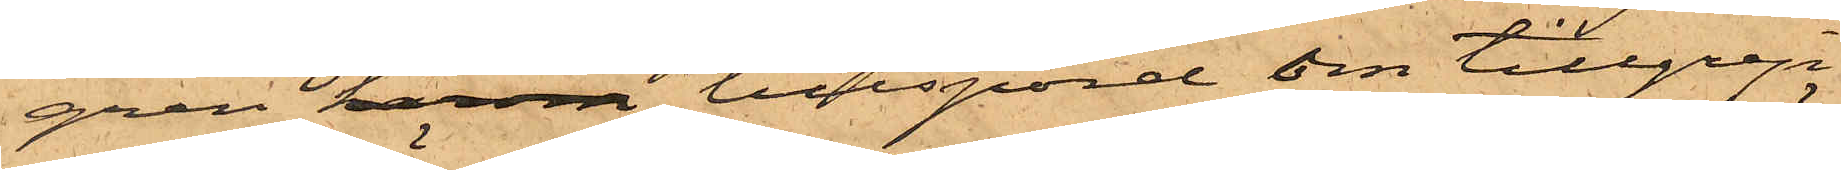gren härom tillspord om tillgrep¬
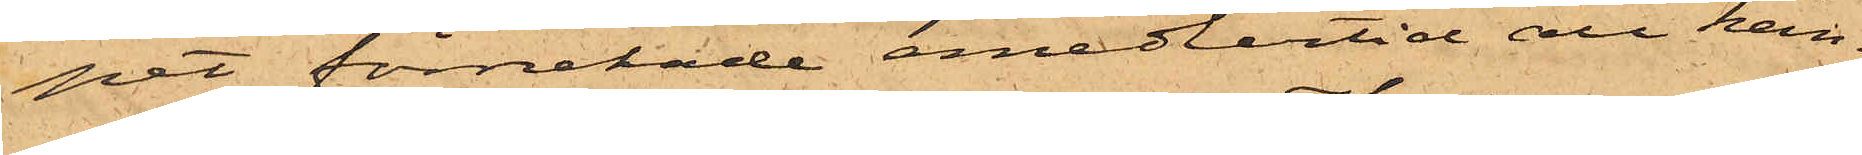pet förnekade emedlertid all kän¬
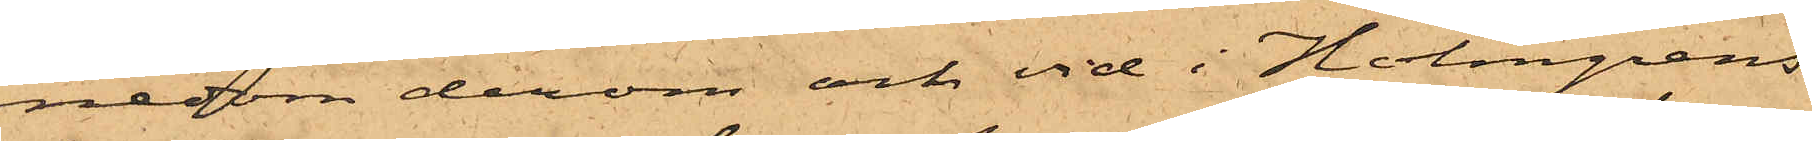nedom derom och vid i Holmgrens
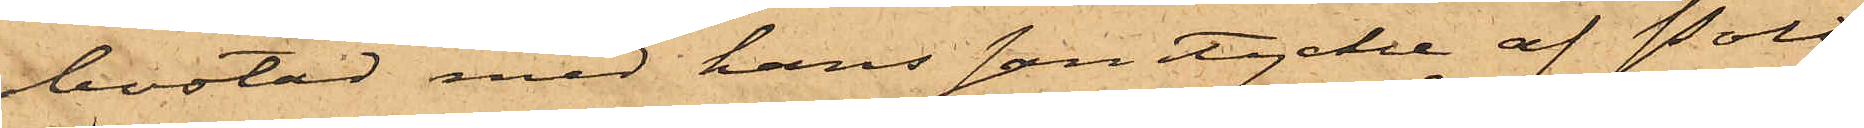bostad med hans samtycke af Polis¬
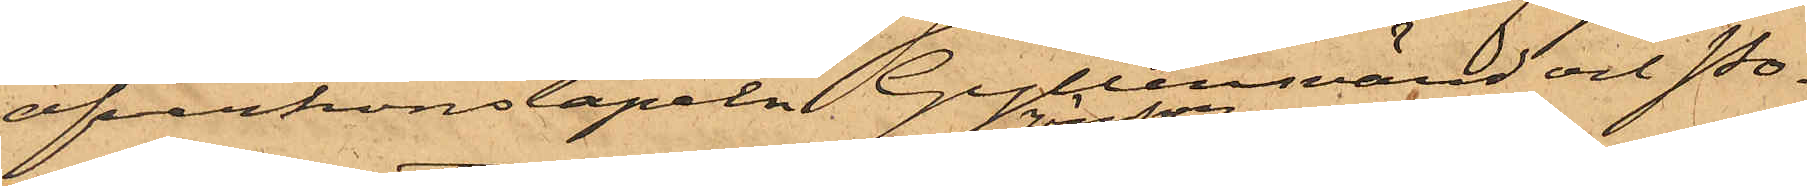öfverkonstapeln Gyllensvärd och Po¬
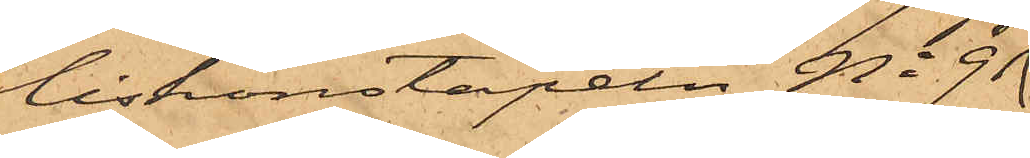liskonstapeln No 91
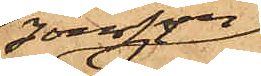Jönsson
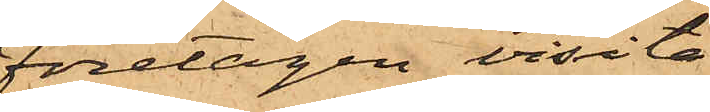företagen visita¬
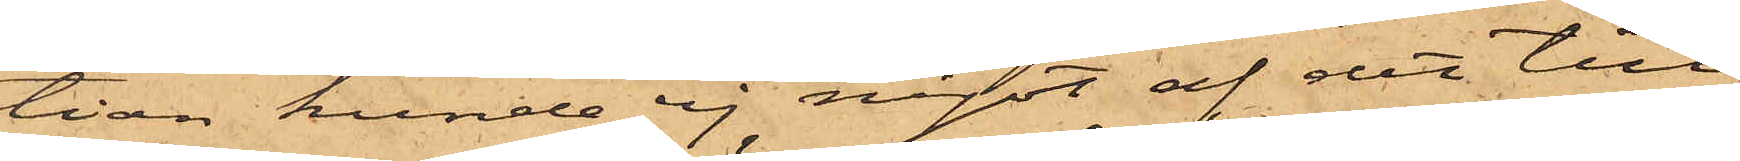tion kunde ej något af det till¬
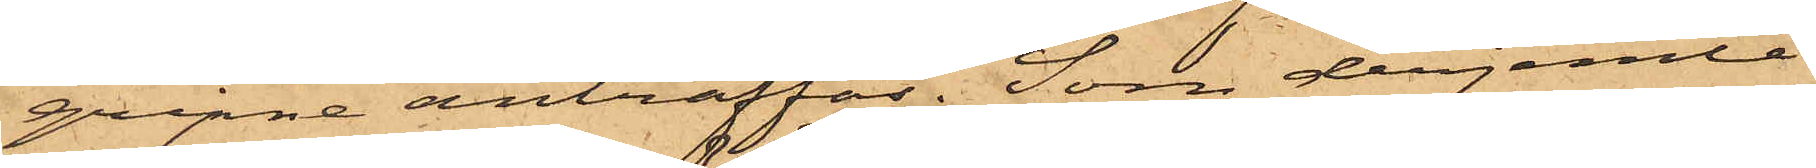gripne anträffas. Som derjemte
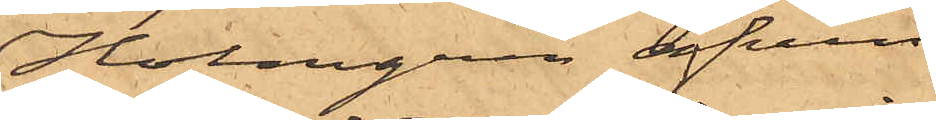Holmgren äfven
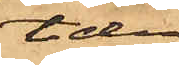tiden
